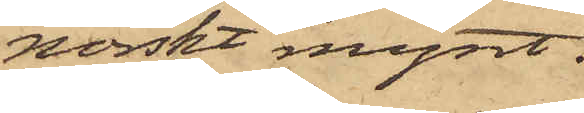norskt mynt.
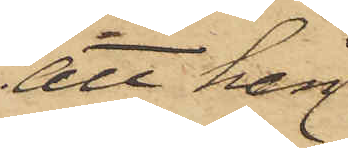att han
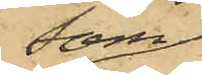som
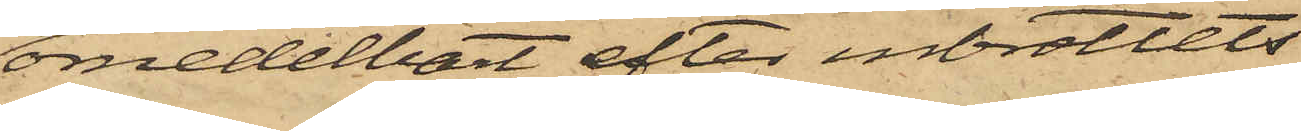omedelbart efter inbrottets
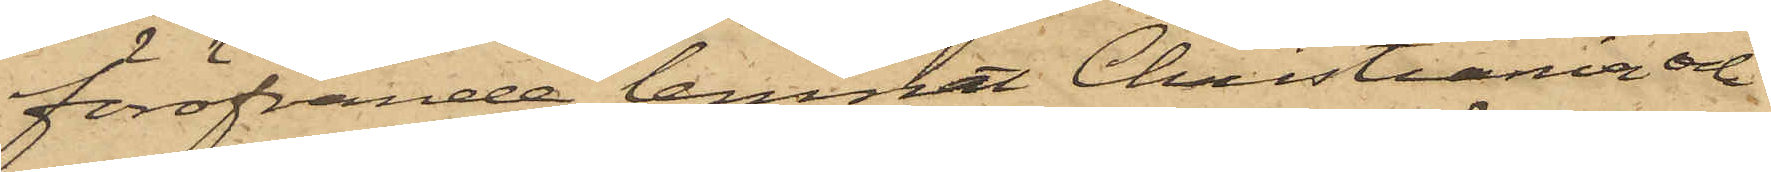föröfvande lemnat Christiania och
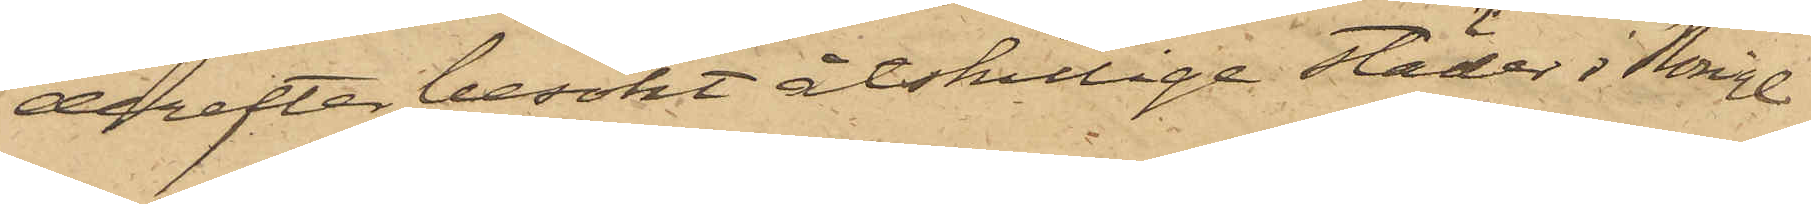derefter besökt åtskillige städer i Norige
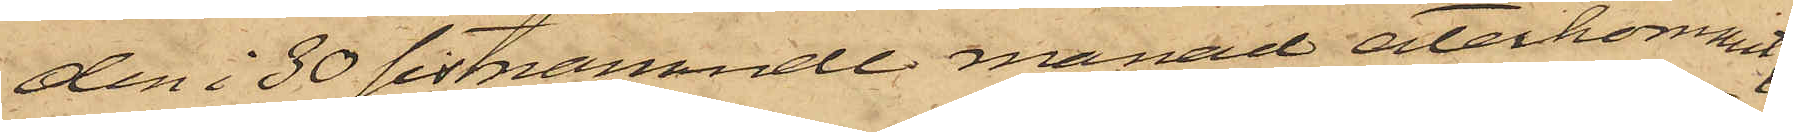den 30 sistnämnde månad återkommit
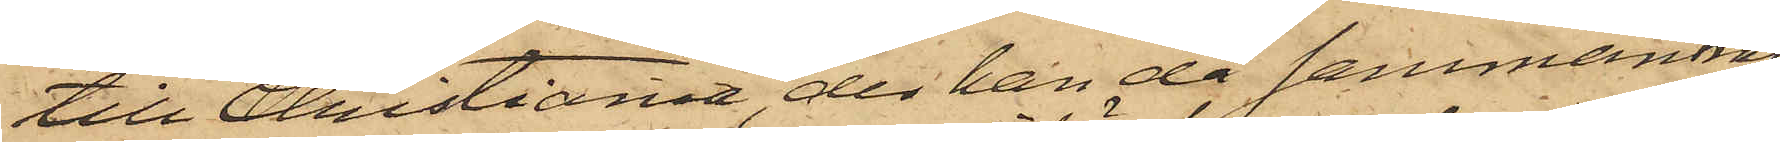till Christiania, der han då sammanträf¬
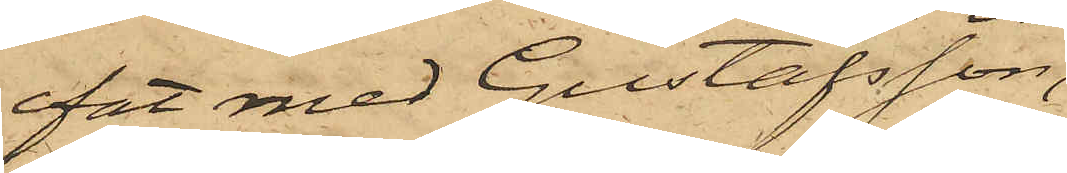fat med Gustafsson,
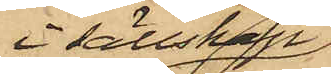i sällskap
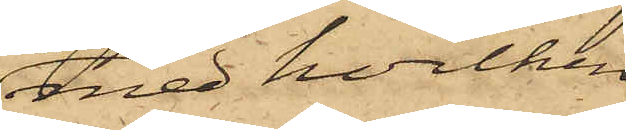med hvilken
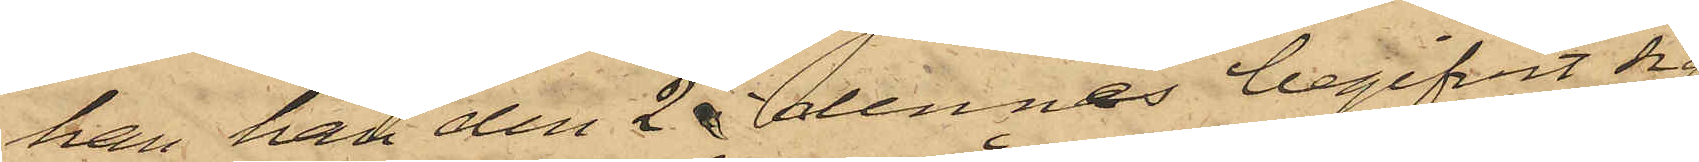han han den 2 dennes begifvit sig
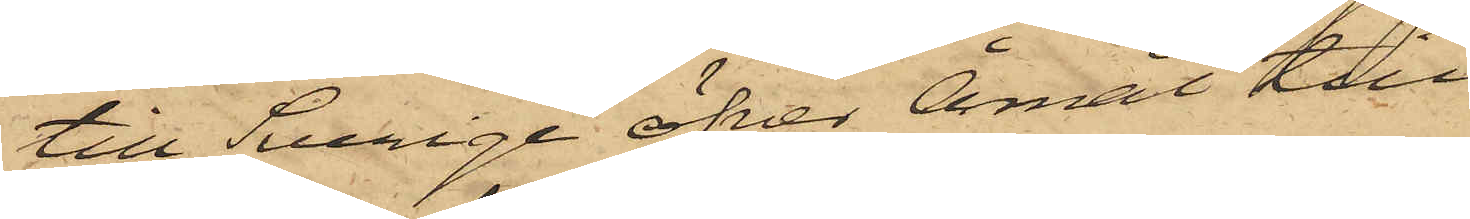till Sverige öfver Åmål till
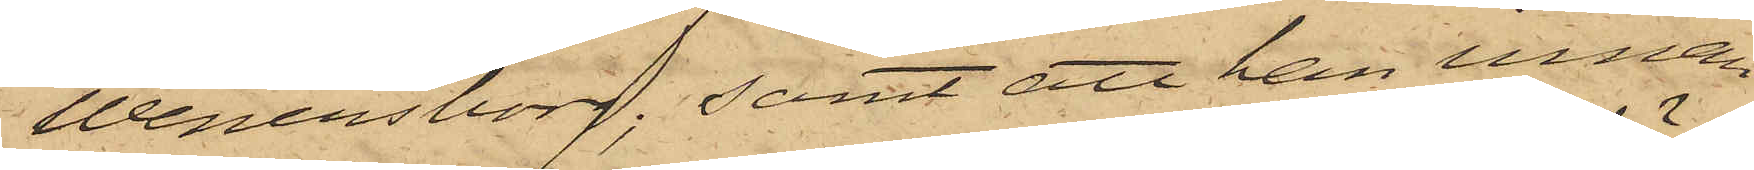Wenersborg; samt att han innan
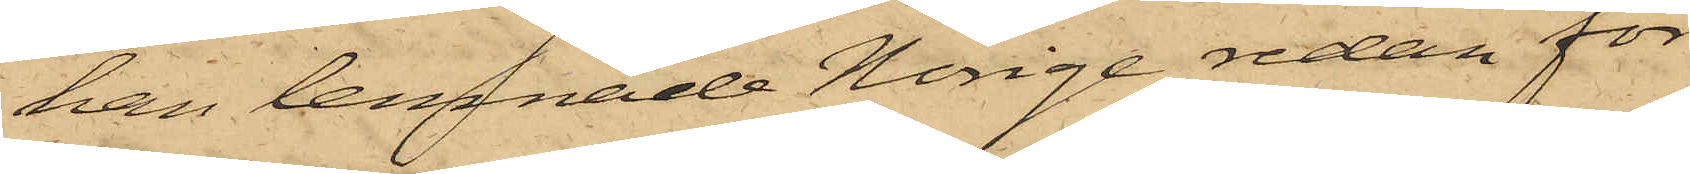han lemnade Norige redan för¬
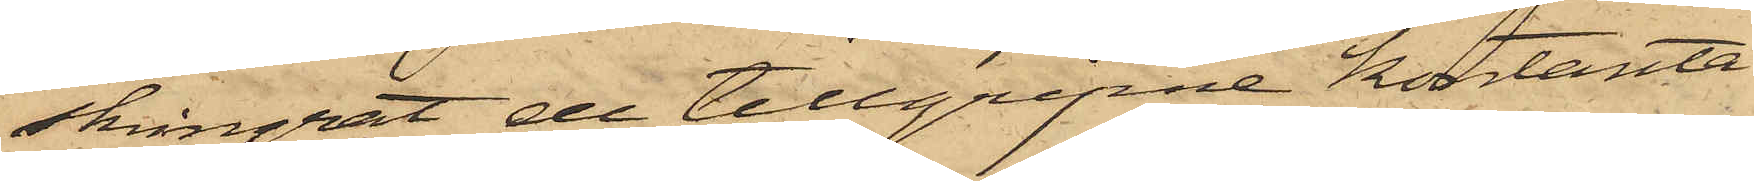skingrat de tillgripne kontanta
